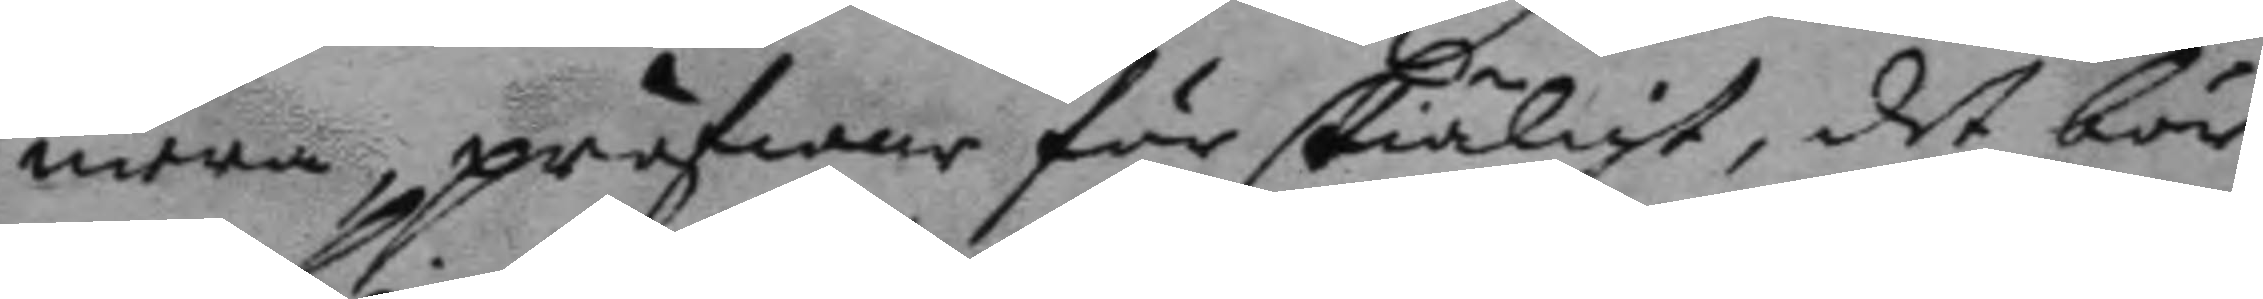mera pröfwar här skiäligt, det bör
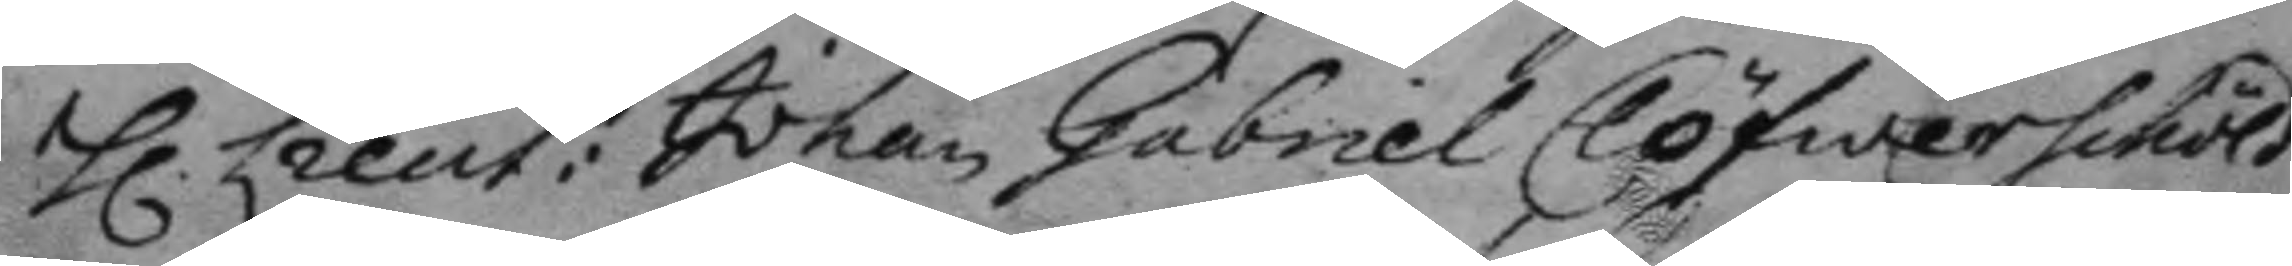h. Lieut: Johan Gabriel Clögwerschöld
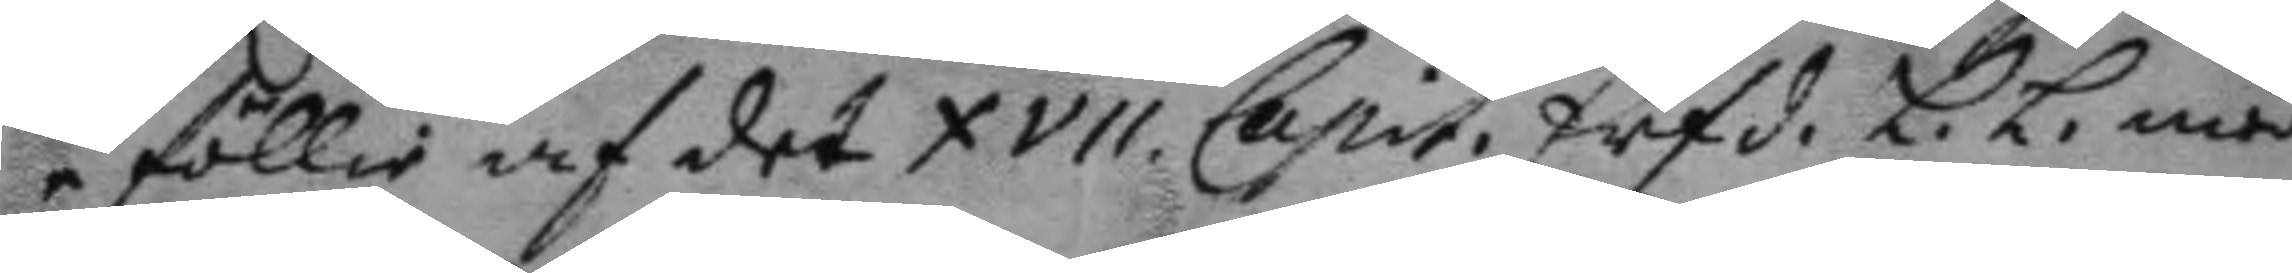i föllie af det XVII Capit. Erfd. L.L. med
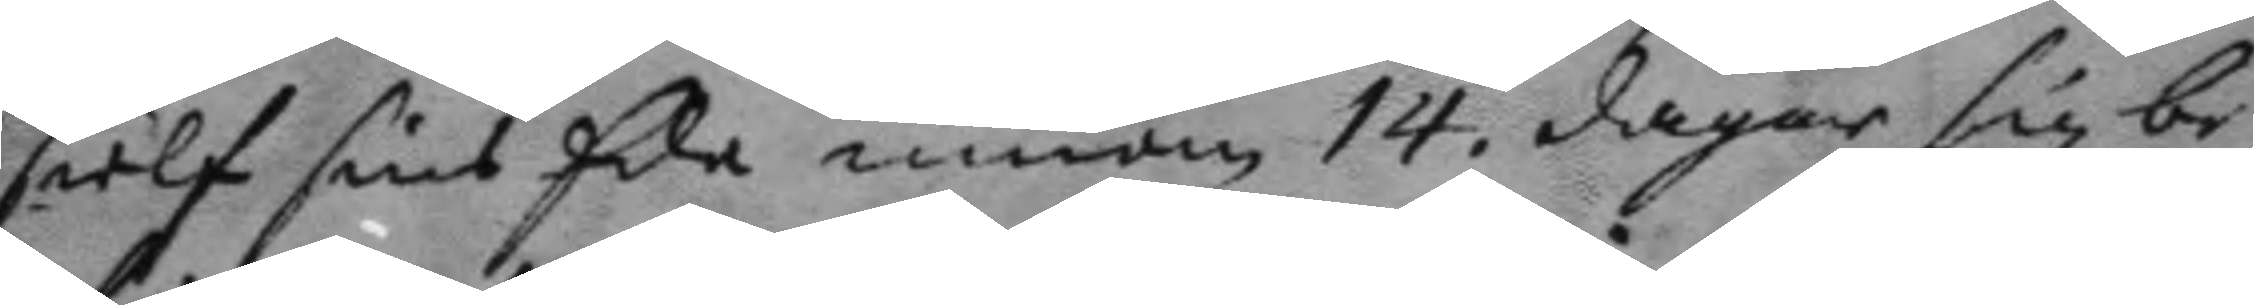sielf sins Ede innom 14. dagar sig be¬
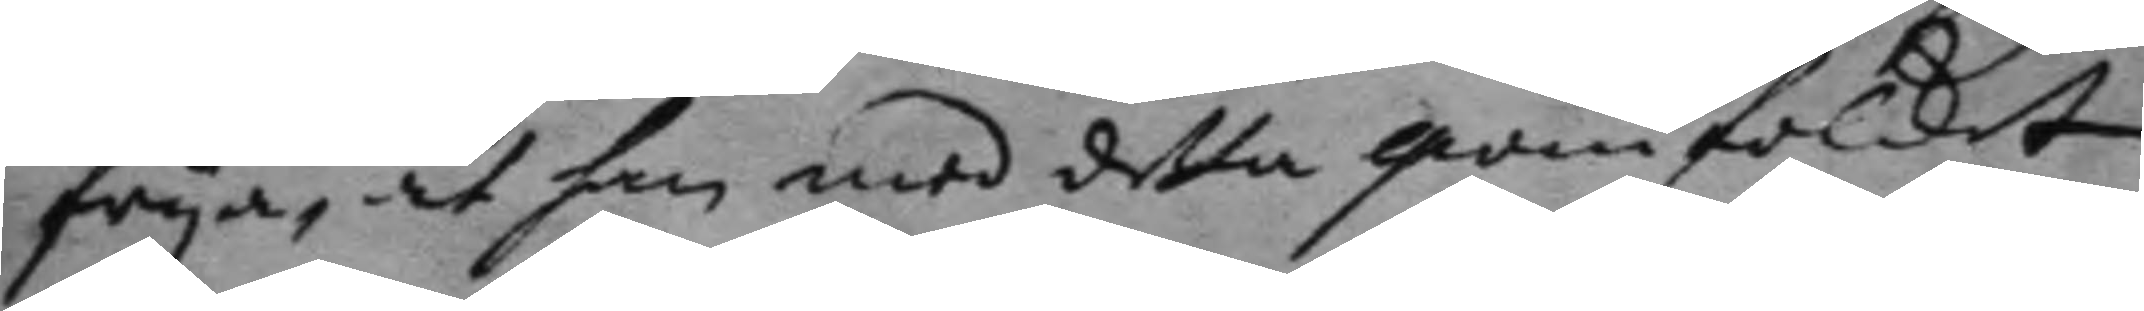frya, at han med detta qwinfolket
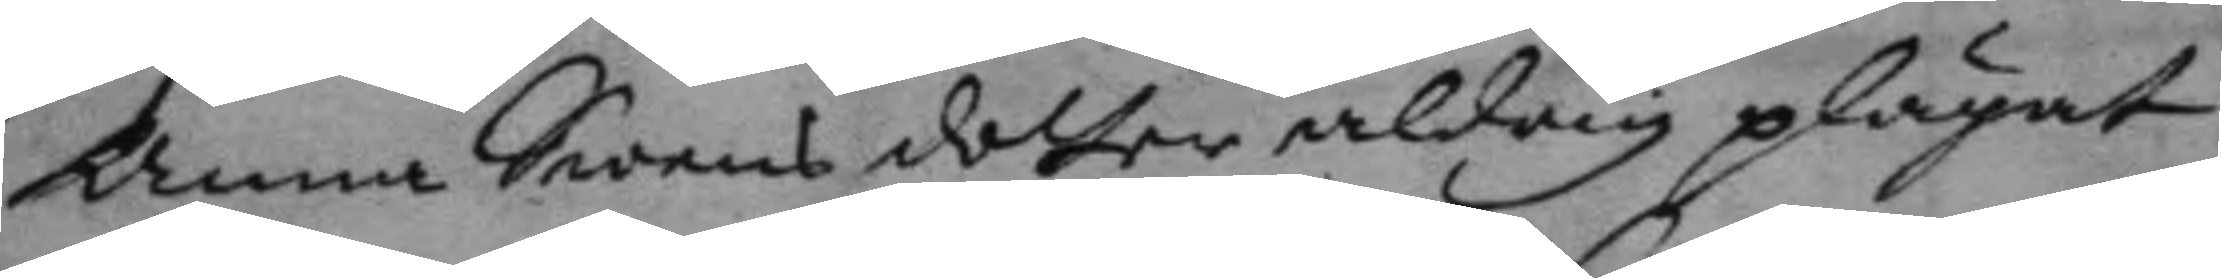Anna Swens dotter aldrig plägat
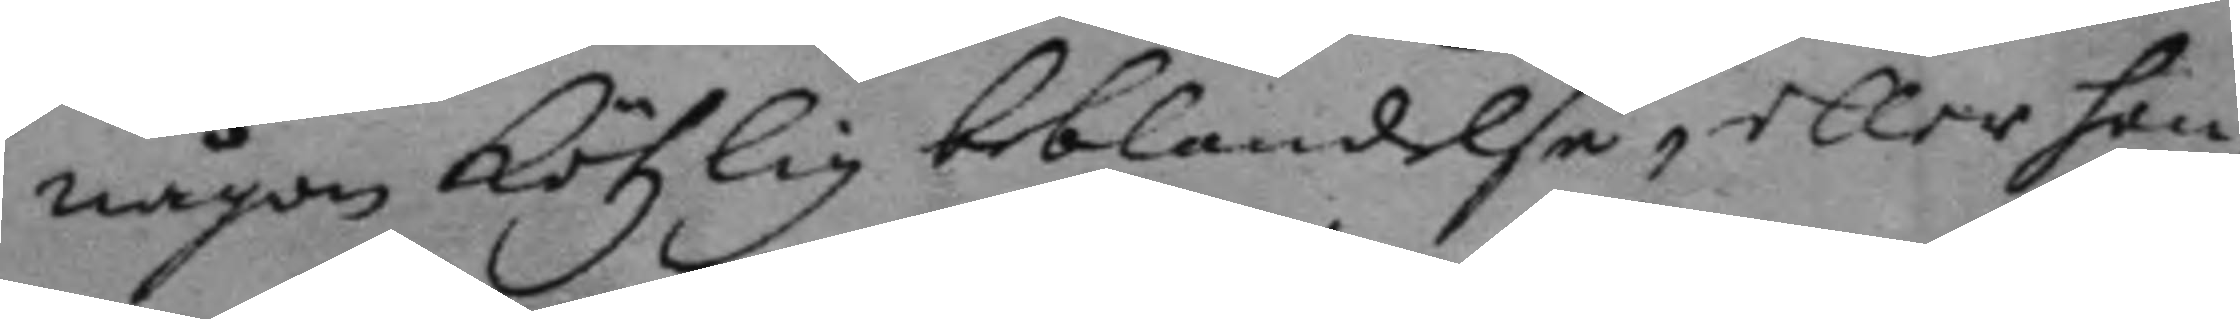någon kötzlig beblandelse eller hen¬
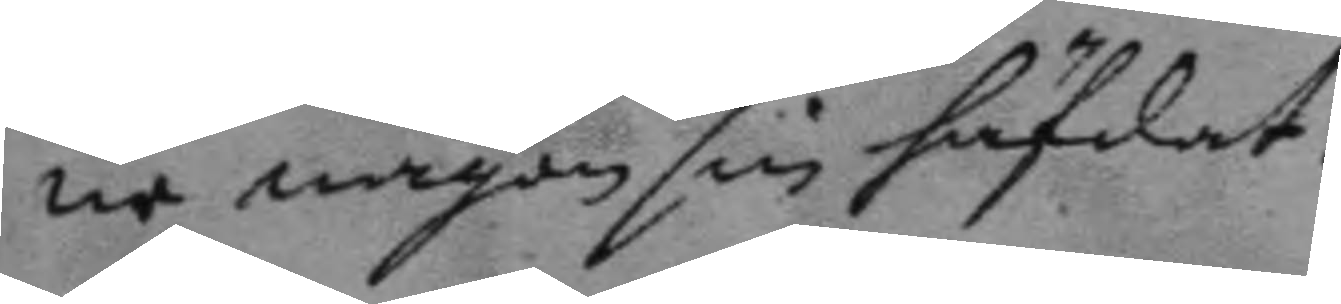ne någonsin häfdat.
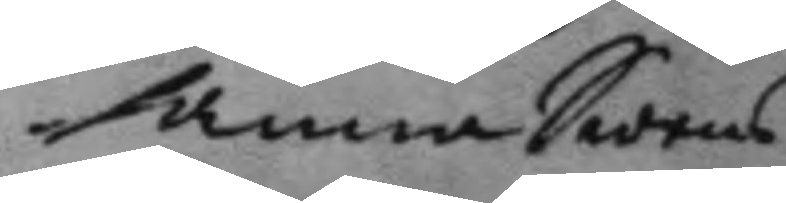Anna Swens
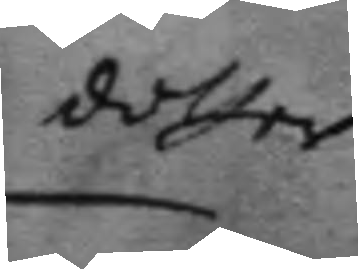dotter
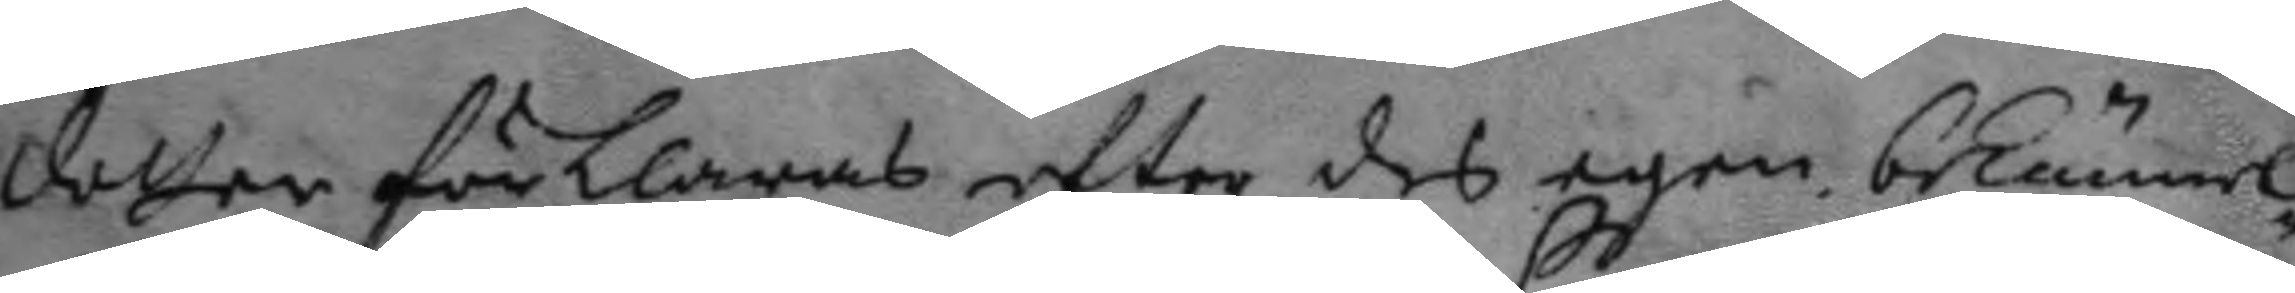dotter förklaras efter des egen bekännel¬
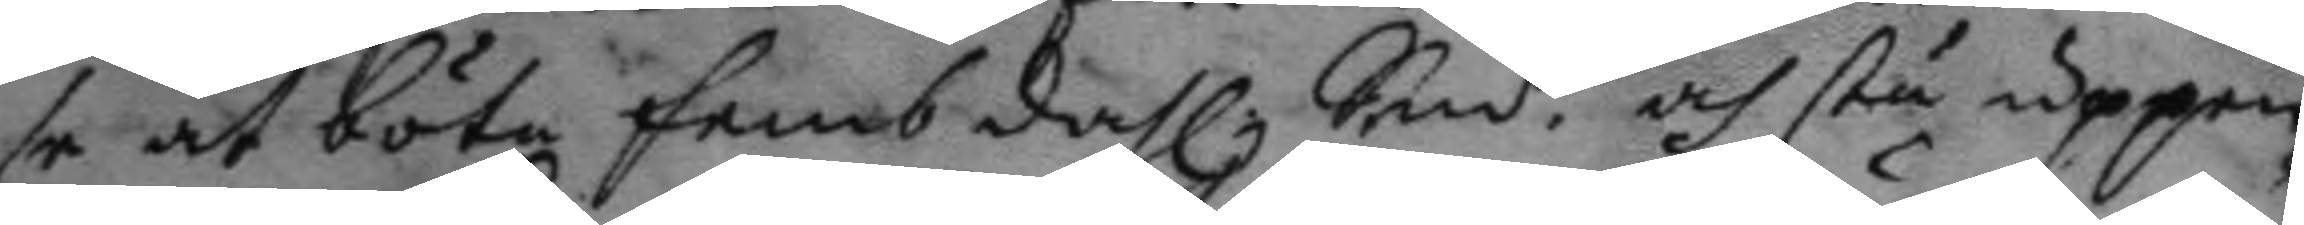se at böta femb dahl. Smt. och stå uppen¬
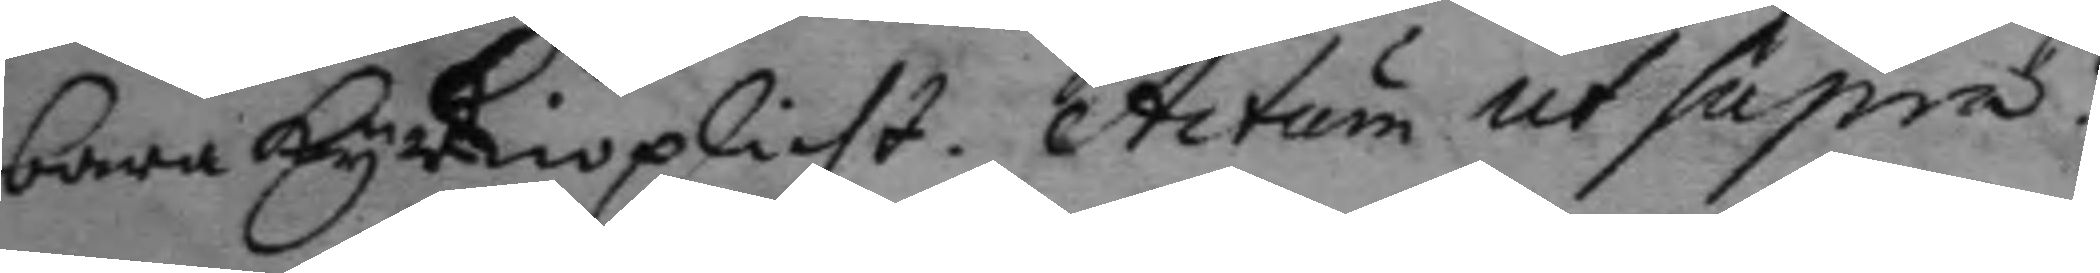bara kyrkioplicht. Actum ut Supra.
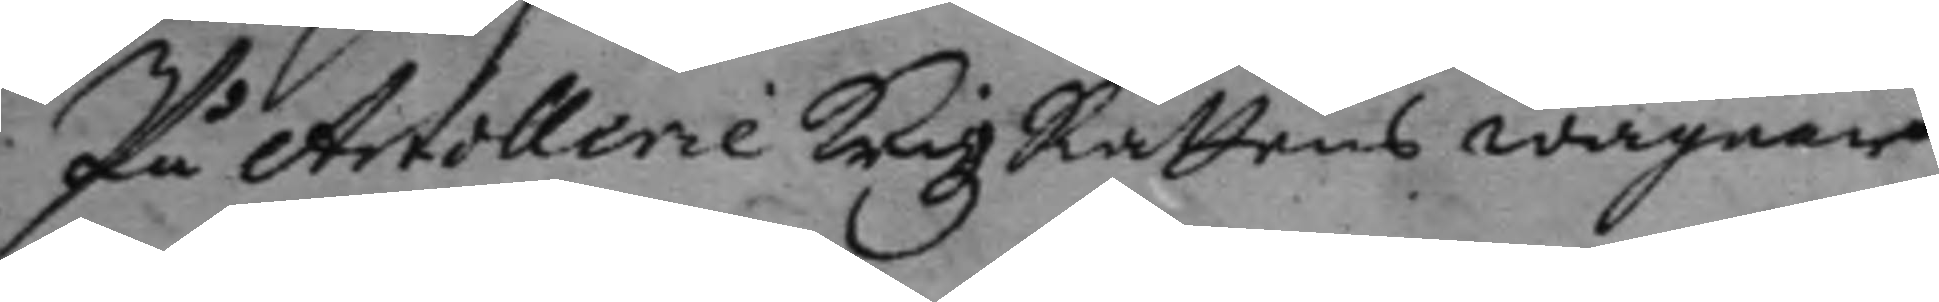På Artollerie KrigzRättens wägnar
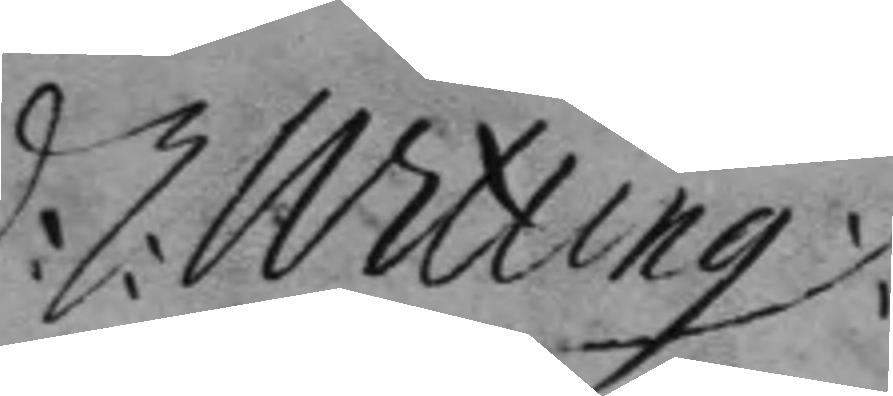C: nitting
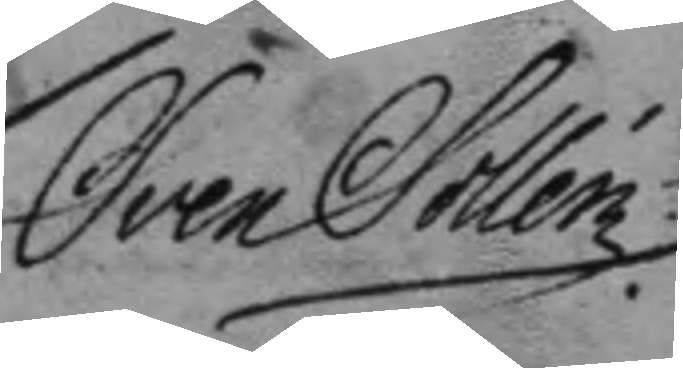Sven Sollen.
